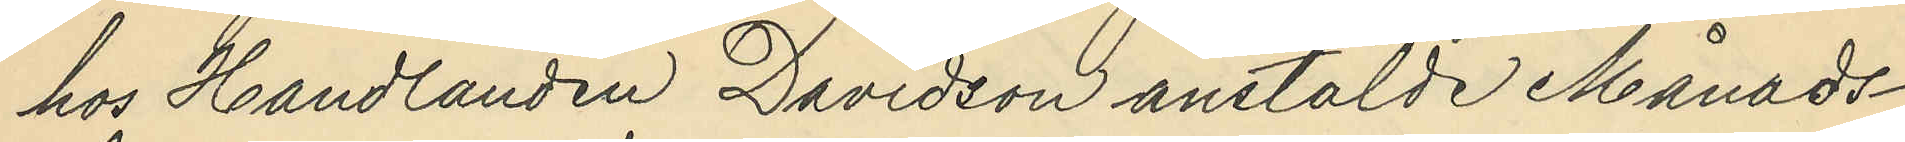hos Handlanden Davidson anstälde Månads¬
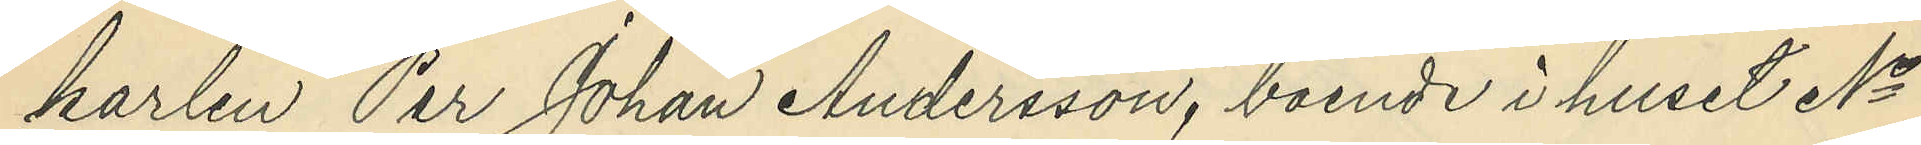karlen Per Johan Andersson, boende i huset No
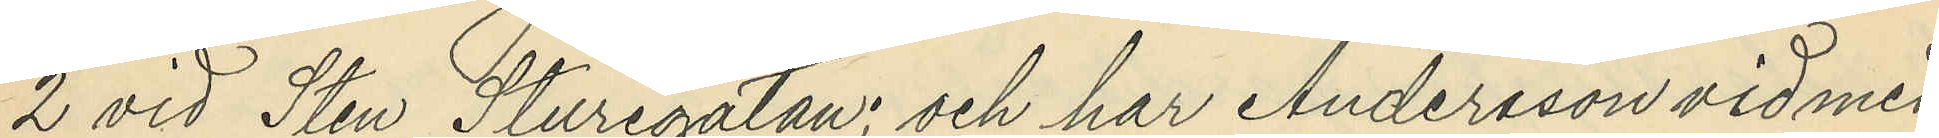2 vid Sten Sturegatan: och har Andersson vid med
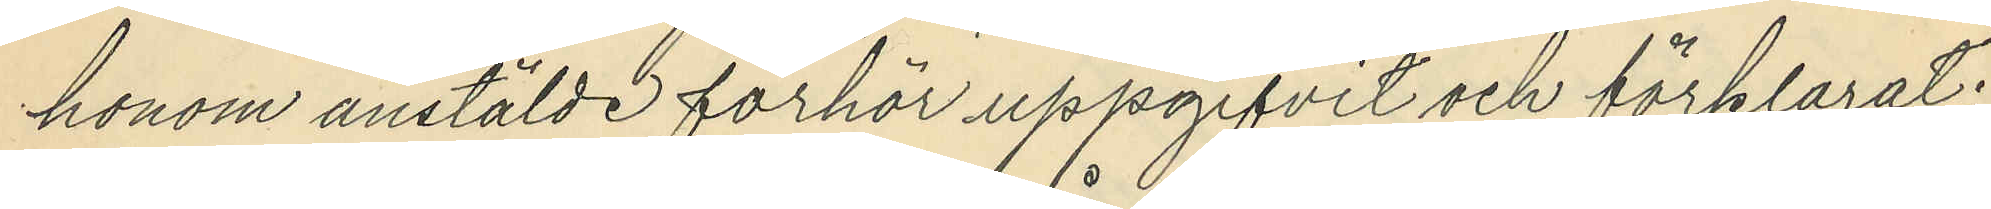honom anstälde förhör uppgifvit och förklarat;
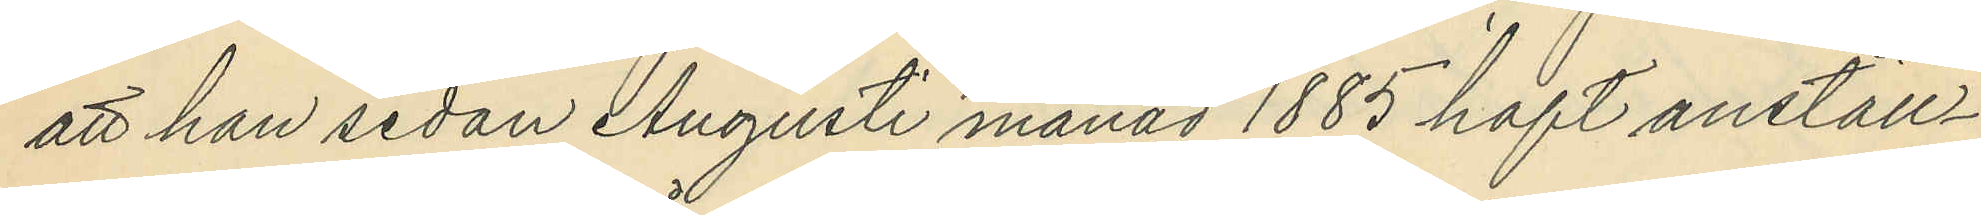att han sedan Augusti månad 1885 haft anställ¬
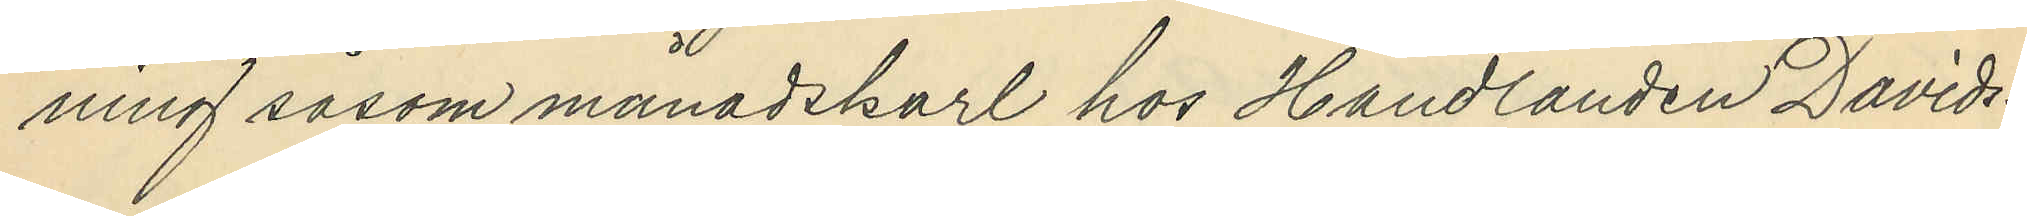ning såsom månadskarl hos Handlanden Davids¬
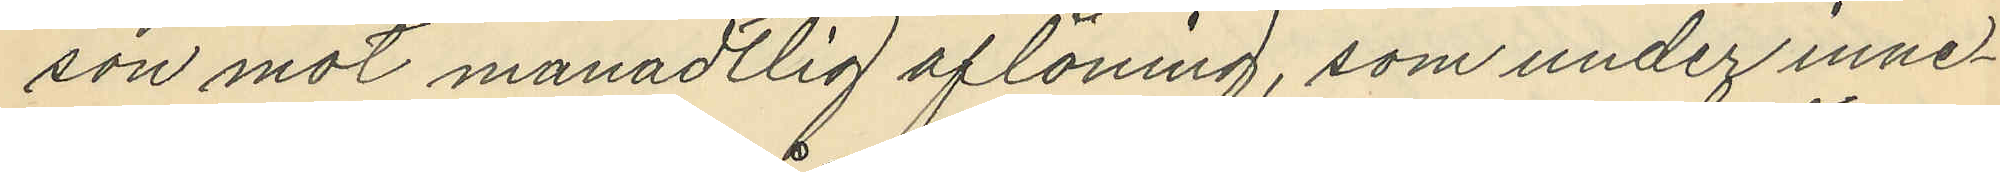son mot månadtlig aflöning, som under inne¬
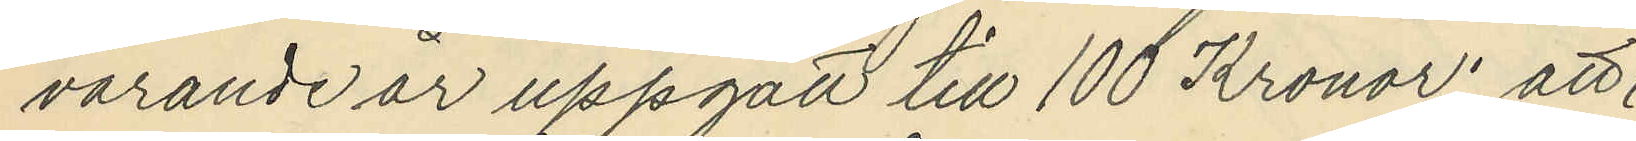varande år uppgått till 100 Kronor; att
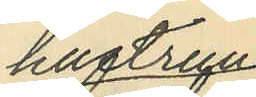hustrun
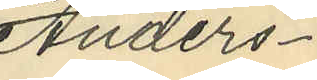Anders¬
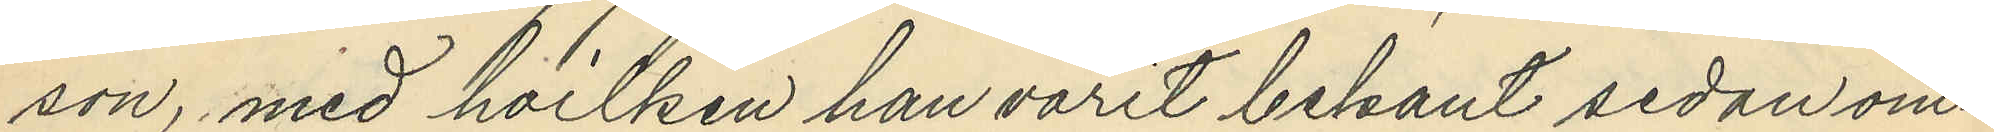son, med hvilken han varit bekant sedan om¬
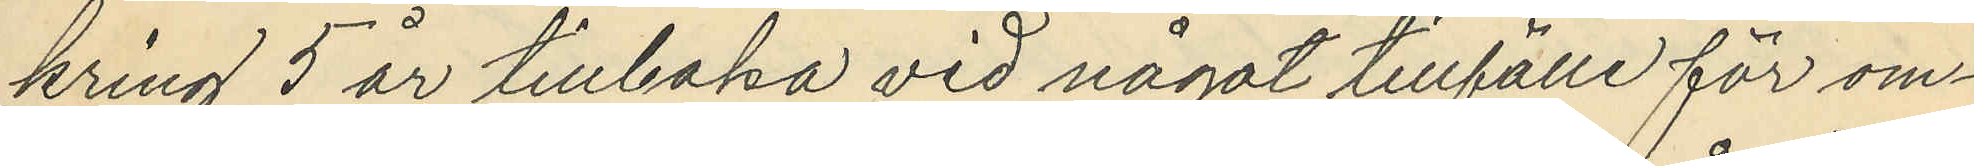kring 5 år tillbaka vid något tillfälle för om¬
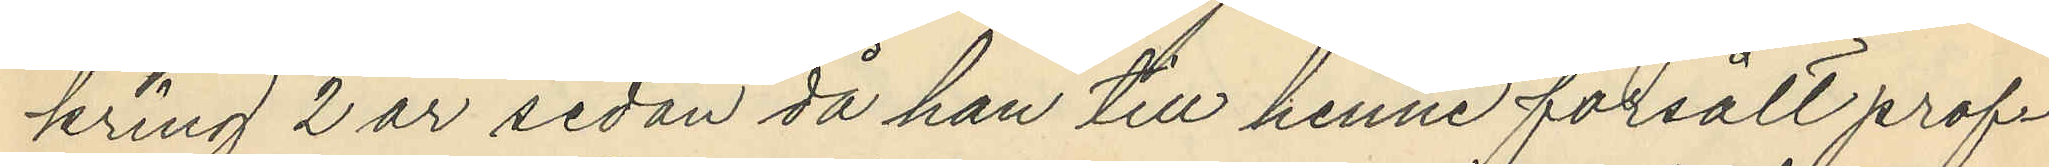kring 2 år sedan då han till henne försålt prof¬
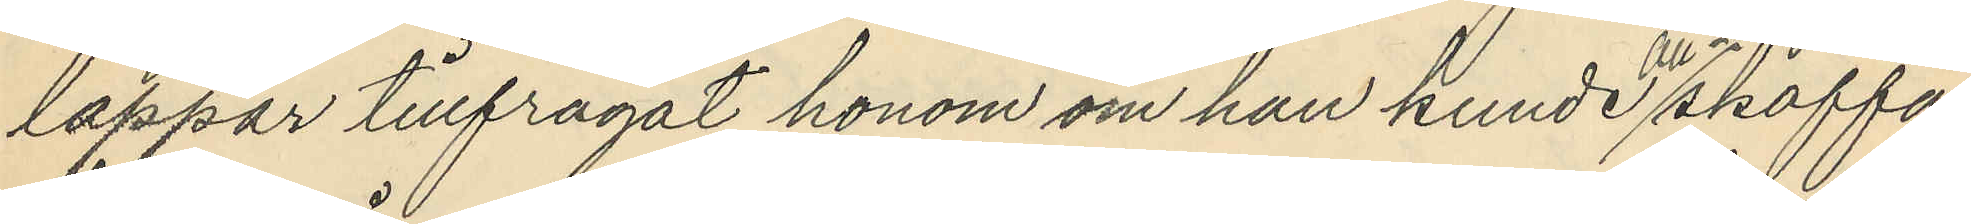lappar tillfrågat honom om han kunde anskaffa
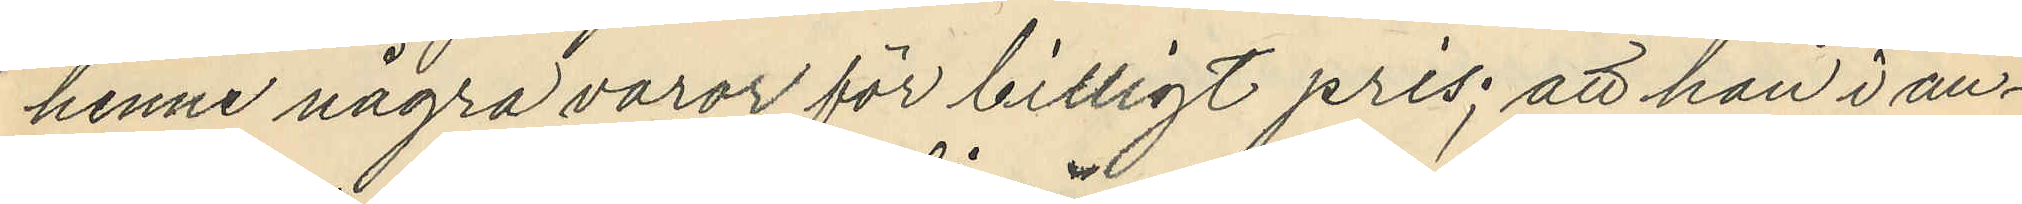henne några varor för billigt pris; att han i an¬
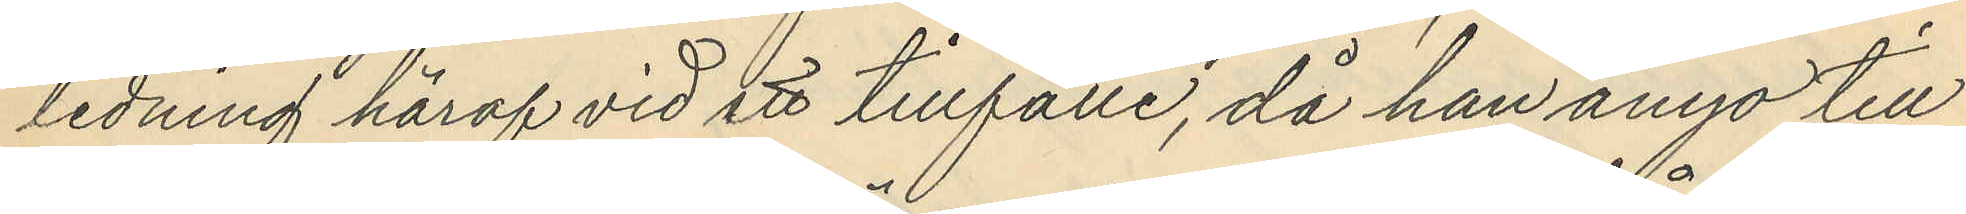ledning häraf vid ett tillfälle, då han ånyo till
